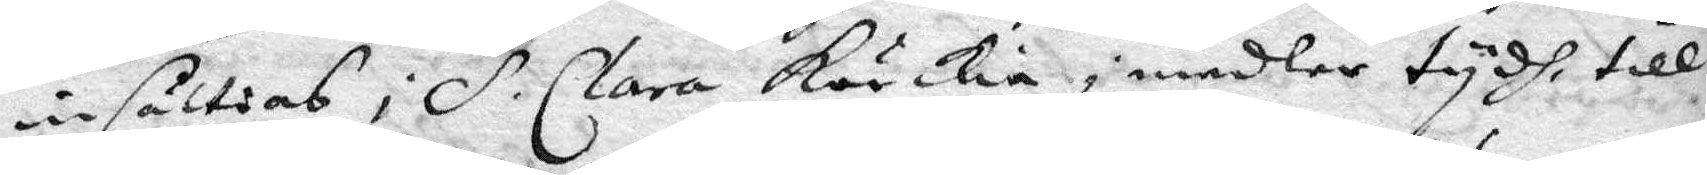insättias i S. Clara körkia i medler tydh, till
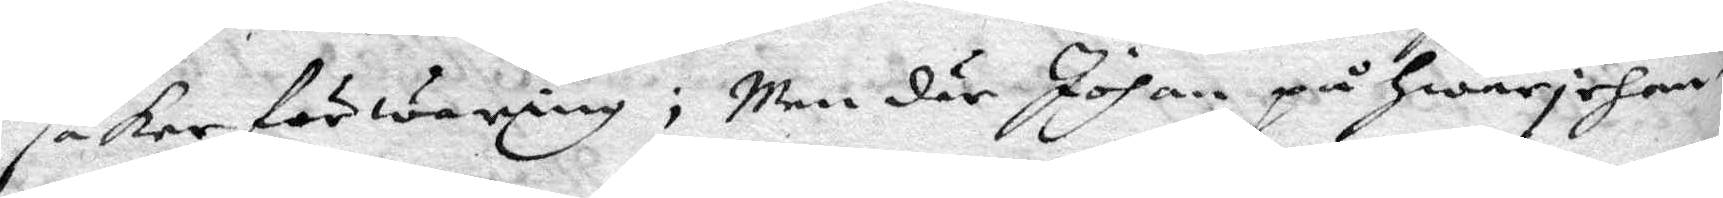säker förwaring; Men där Johan på hwarjehan¬
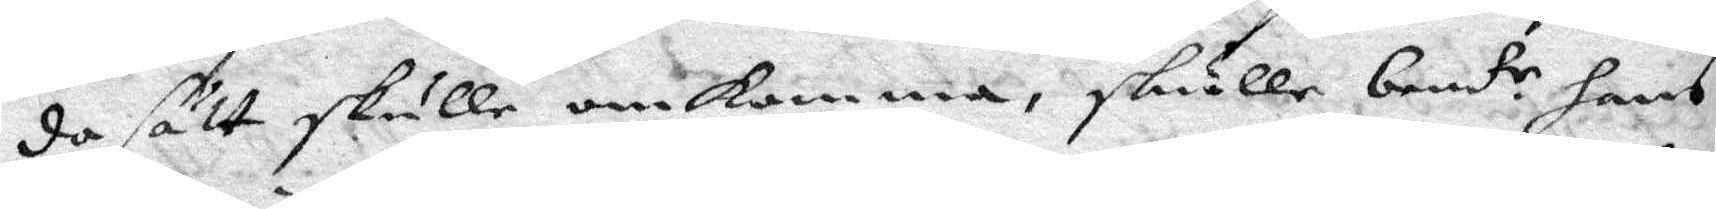da sätt skulle omkomma, skulle bem.te hans
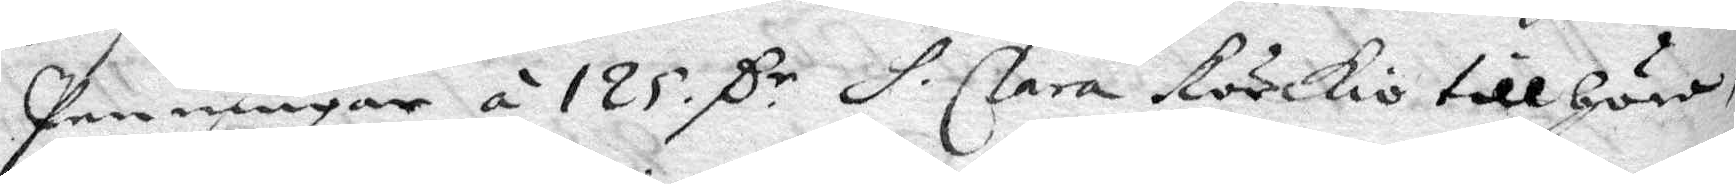Penningar á 125. C.r S. Clara körkio till höra,
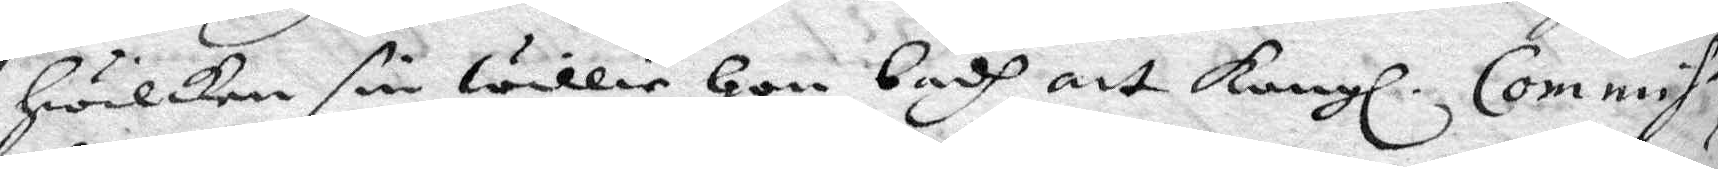Hwilken sin willie Hon badh att Kongl. Commis¬
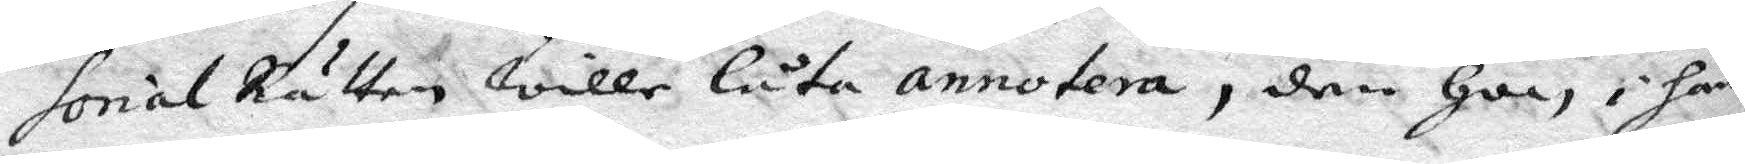sorial Rätten wille låta annotera, den Hon i hän¬
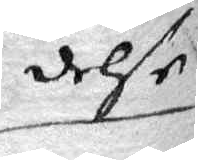delse
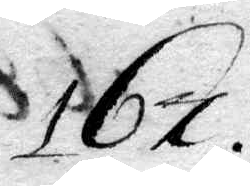167.
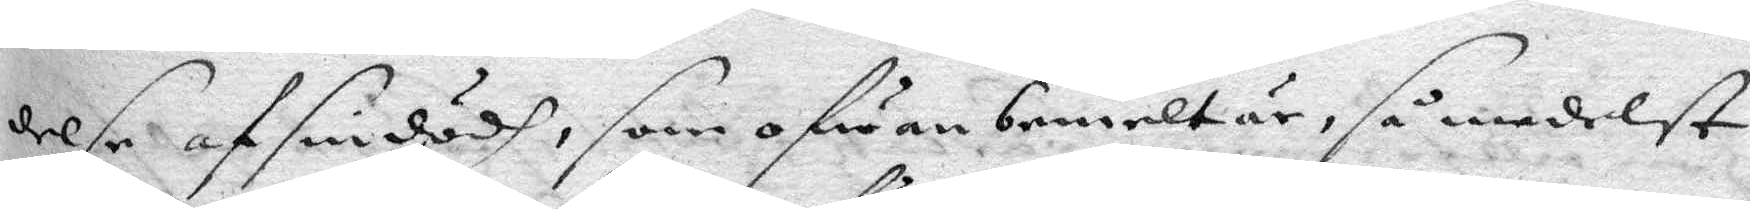delse af sin dödh, som ofwanbemelt är, så medelst
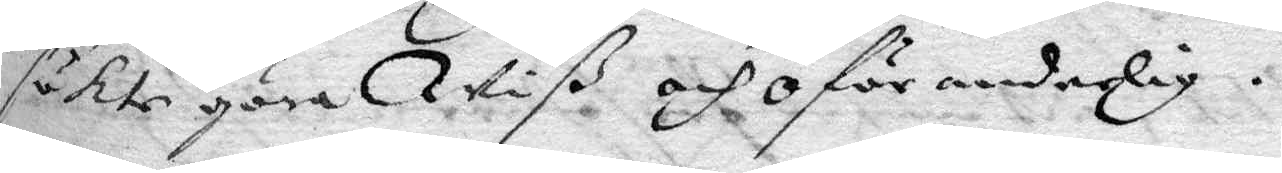sökte göra wiß och oförandelig.
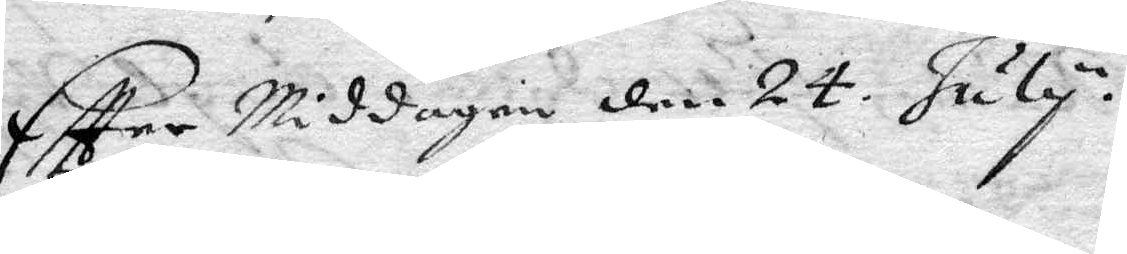Eftter Middagen den 24 July.
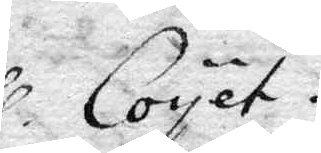hl. Coyet.
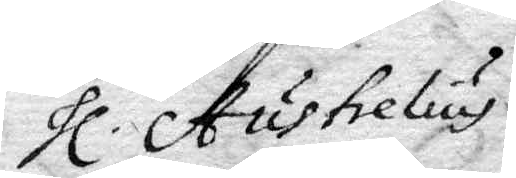hl. Austrelius
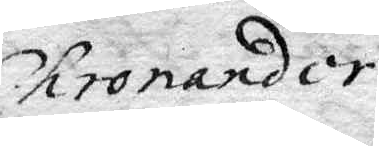hl. Chronander.
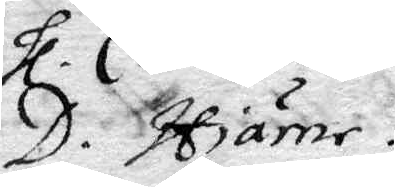D. Hiärne
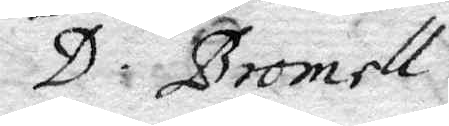D. Bromell
